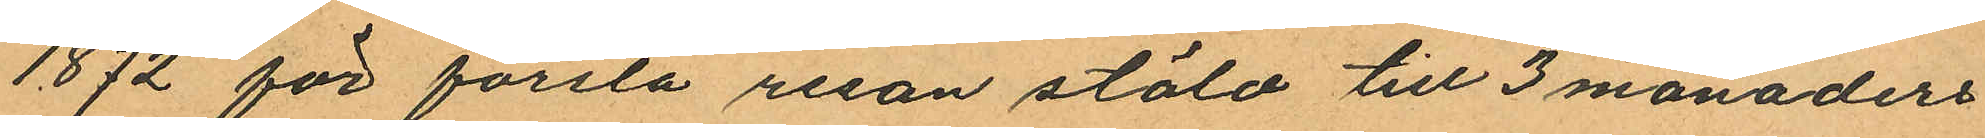1872 för första resan stöld till 3 månaders
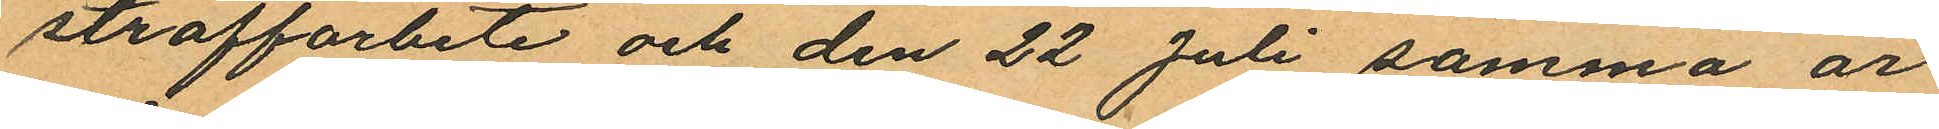straffarbete och den 22 Juli samma år
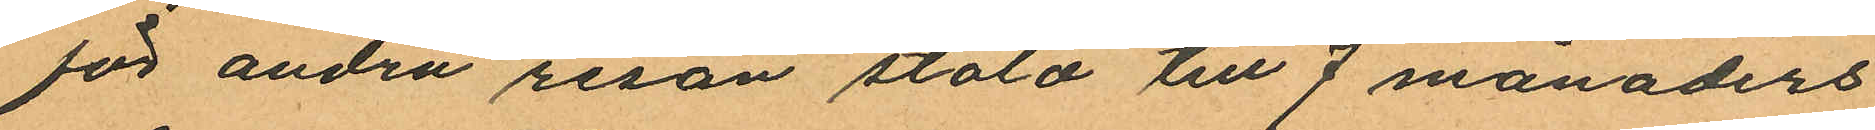för andra resan stöld till 7 månaders
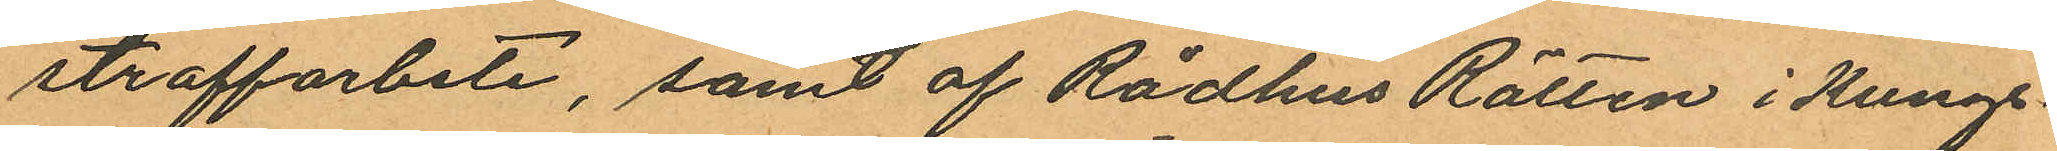straffarbete, samt af Rådhus Rätten i Kungs¬
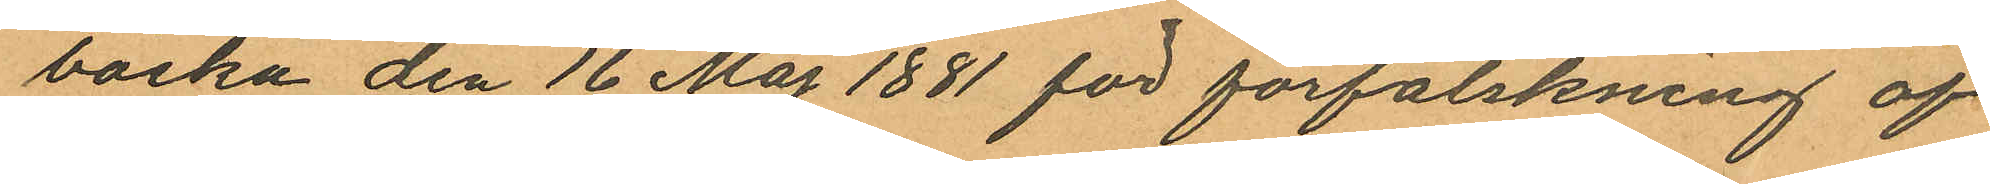backa den 16 Maj 1881 för förfalskning af
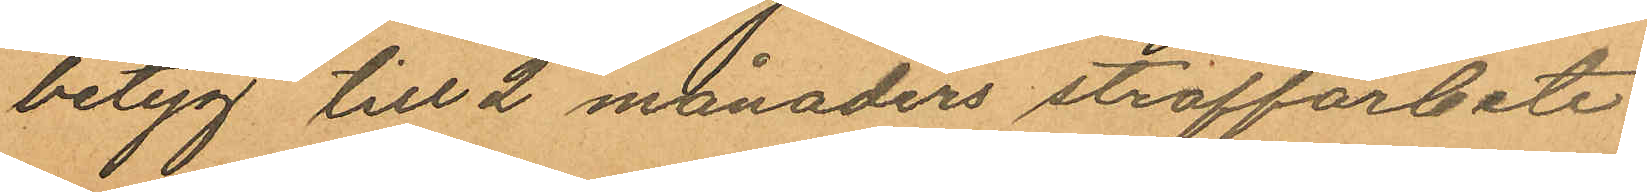betyg till 2 månaders straffarbete.
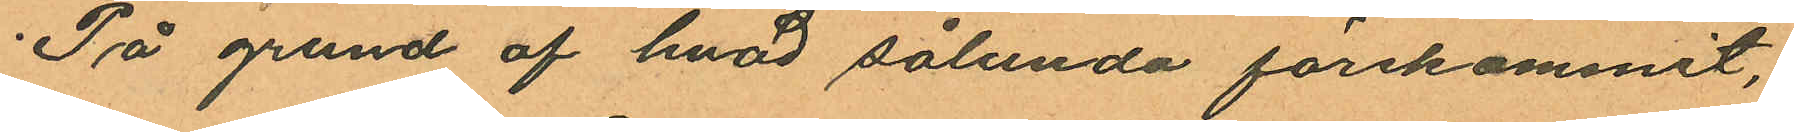På grund af hvad sålunda förekommit,
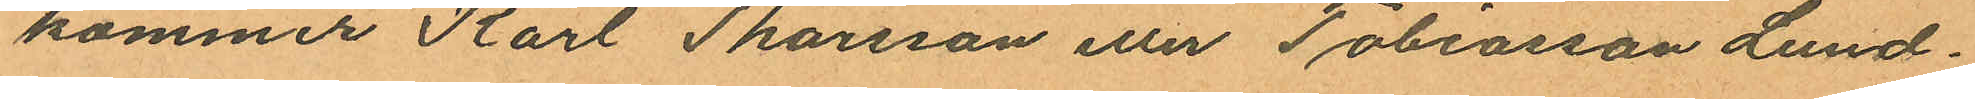kommer Karl Thorsson eller Tobiasson Lund¬
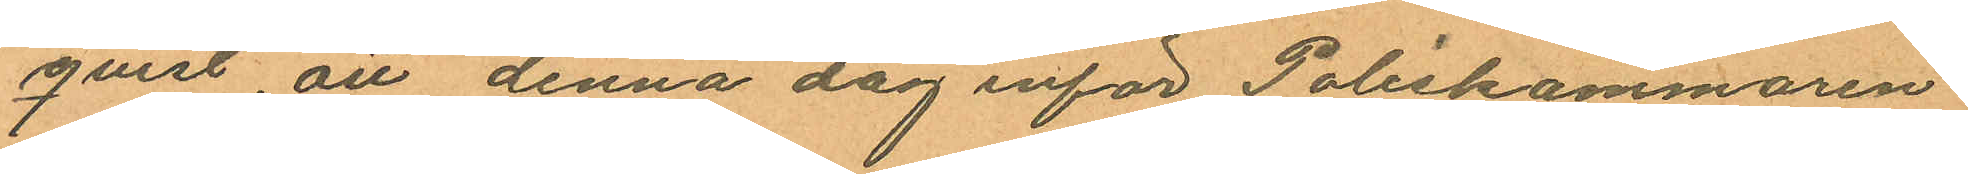qvist, att denna dag inför Poliskammaren
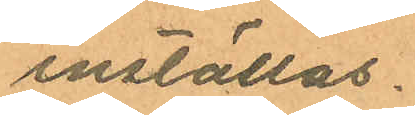inställas.
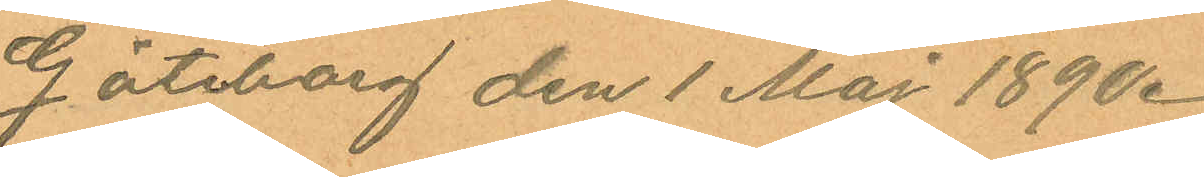Göteborg den 1 Maj 1890.
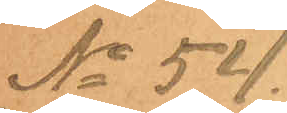No 54
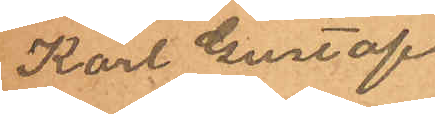Karl Gustaf
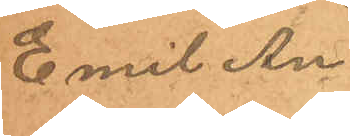Emil An¬
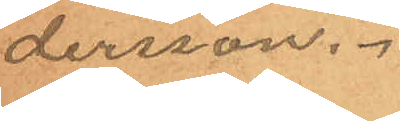dersson.
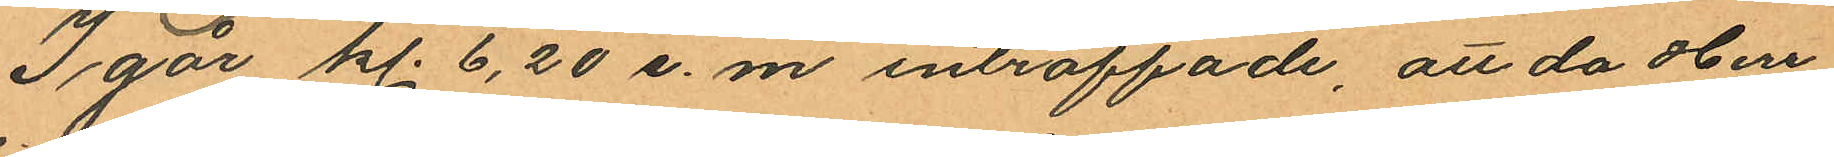I går kl. 6,20 e.m. inträffade, att da Herr
